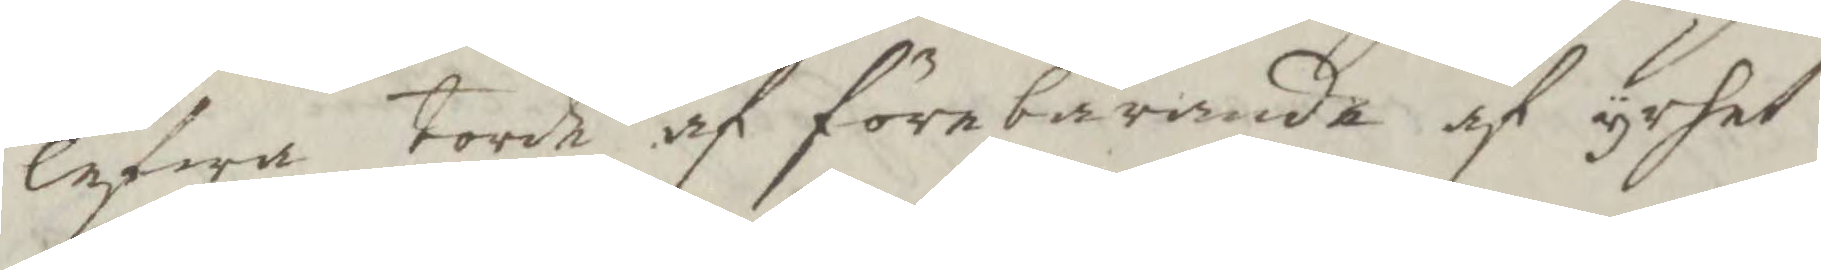lefwa Torde af förebärande af yrhet
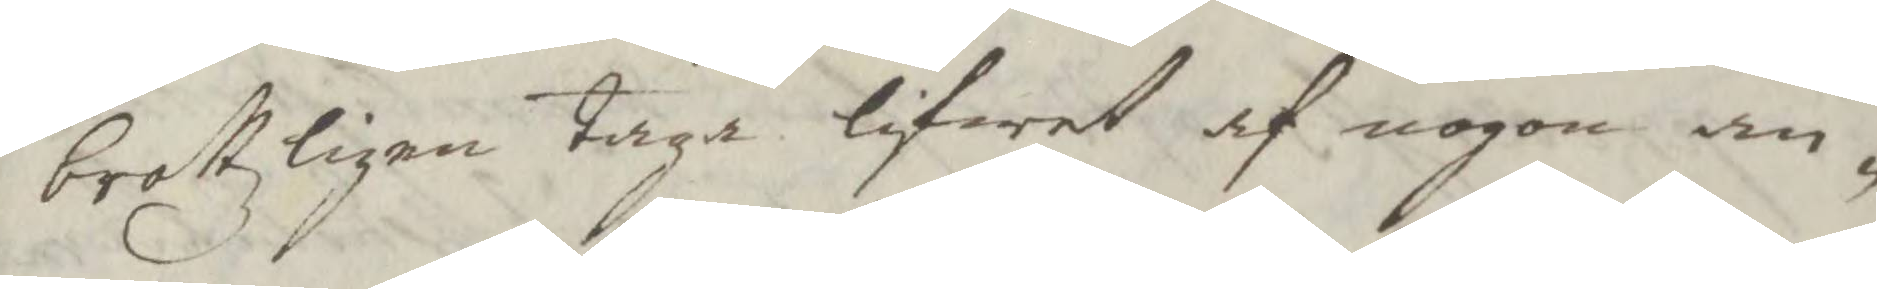brottzligen Taga lifwet af nogon an¬
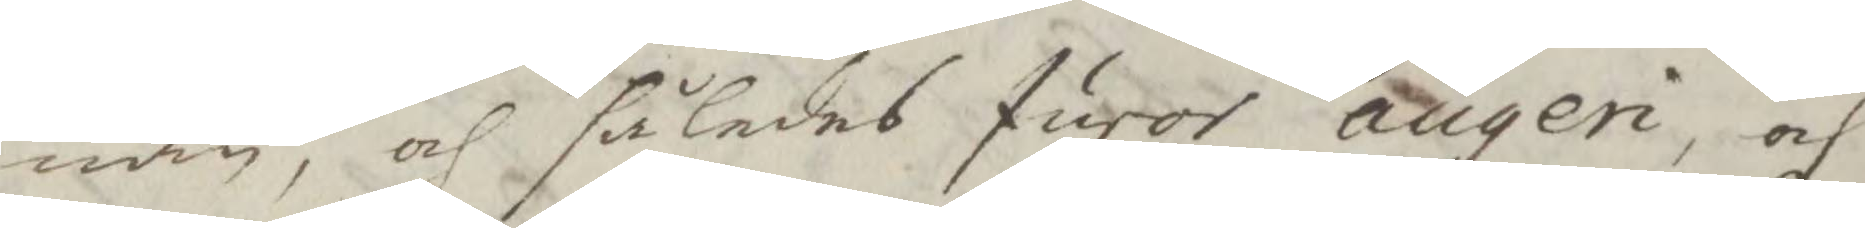nan, och således furor augen, och
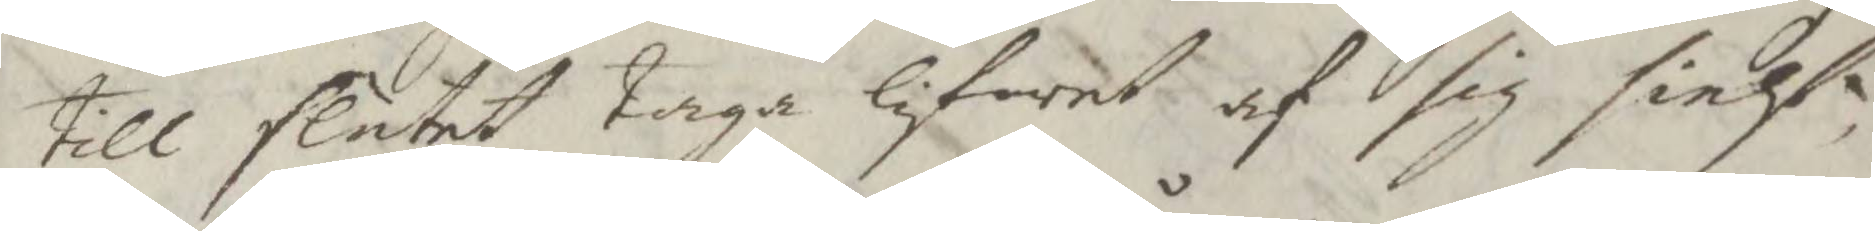till slutet Taga lifwet af sig sielf,
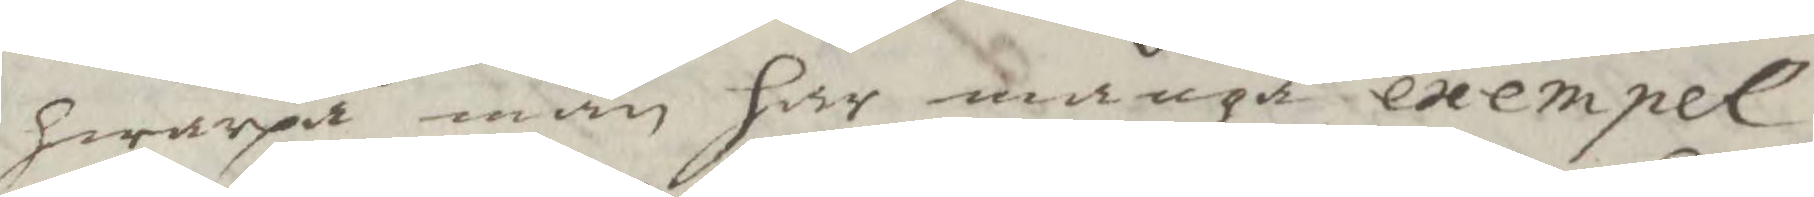hwarpå man har många exempel,
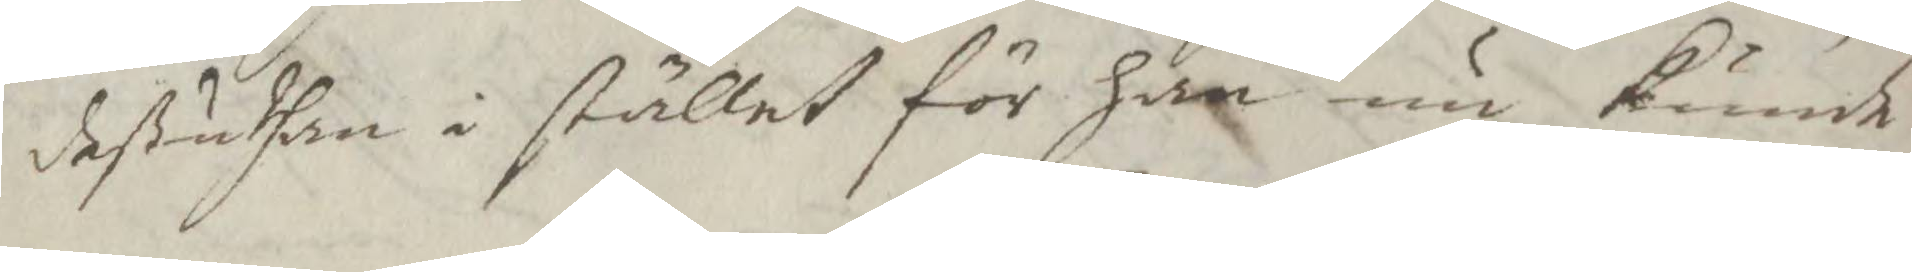deßuthan i stället för han nu kunde
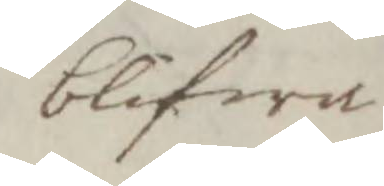blifwa
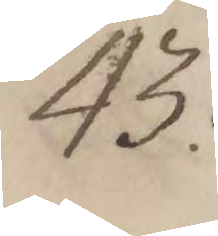43:
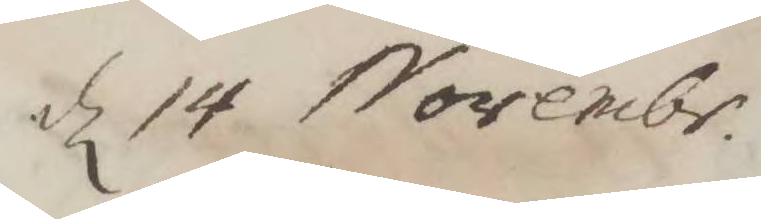d 14 Novembr.
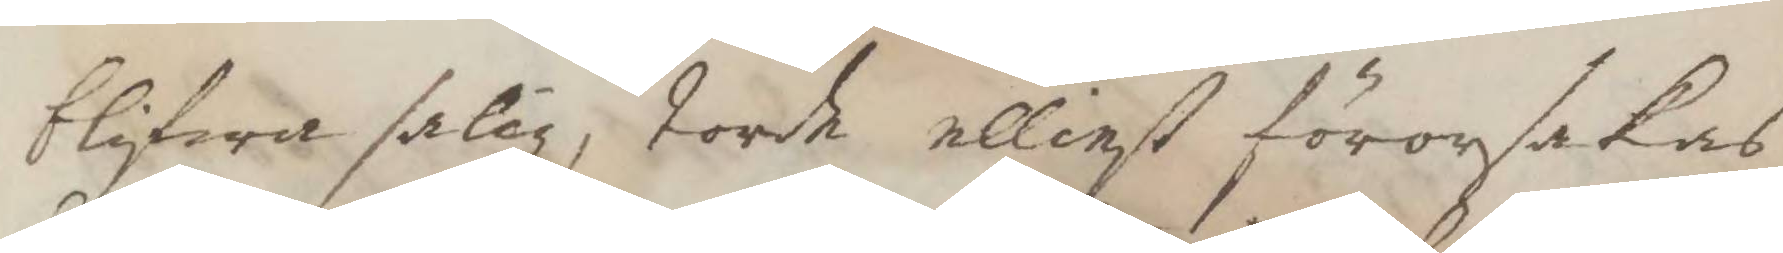blifwa salig, Torde elliest förorsakas
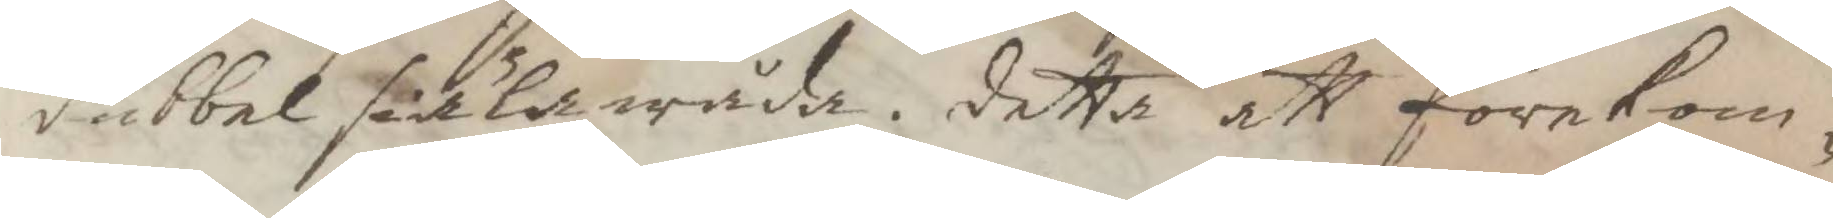dubbel siälawåda. detta att förekom¬
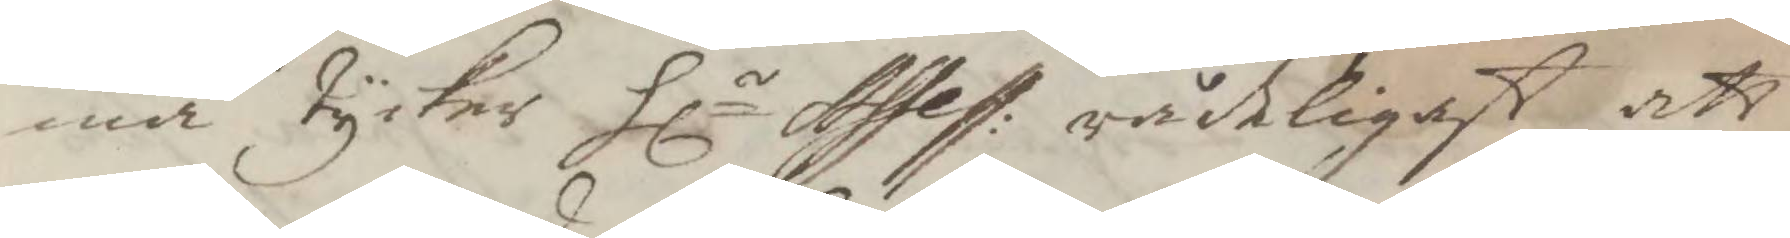ma Tyckes Hlr Assess: rådeligast att
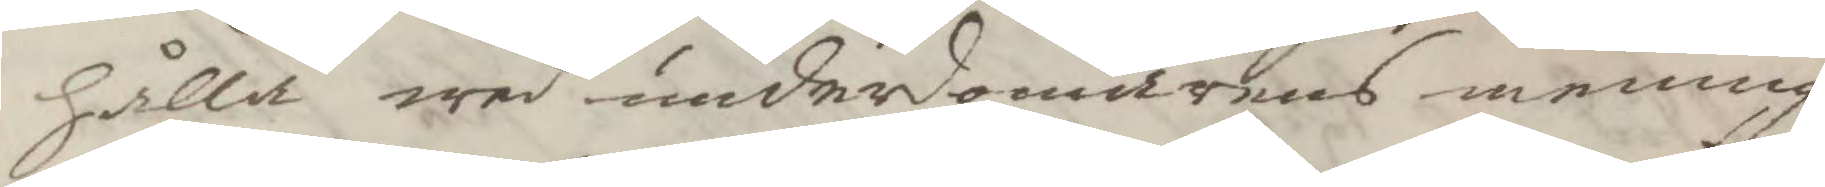hålla wed undersomarens mening,
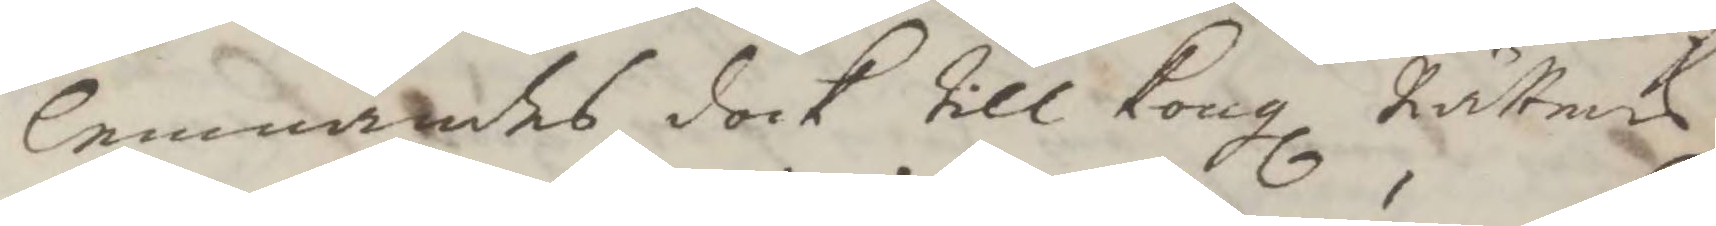lemnades dock Till Kongl Rättens
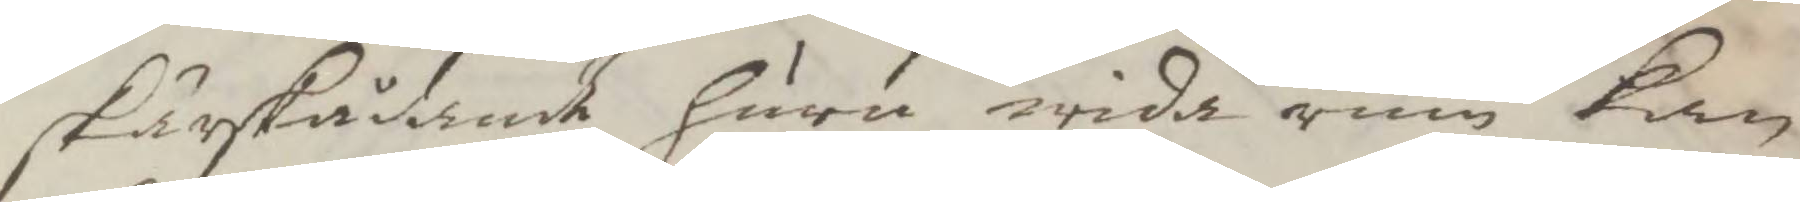skärskådande huru wida rum kan
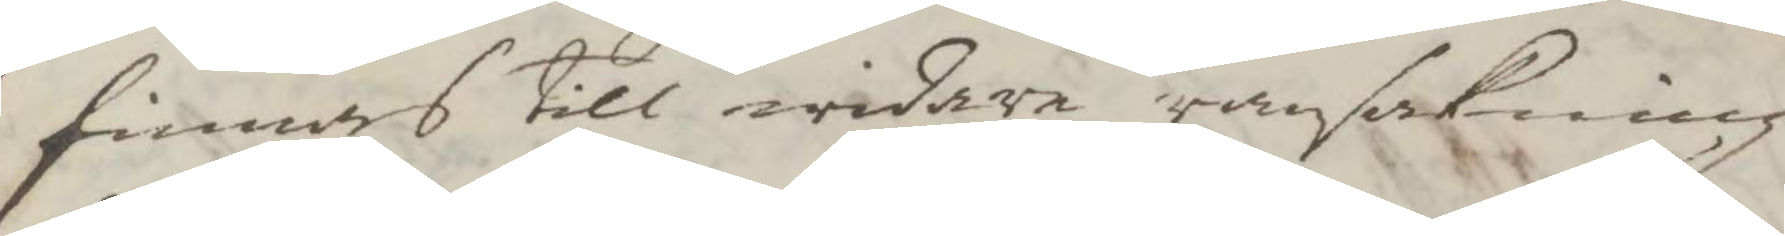finnas till widare ransakning
